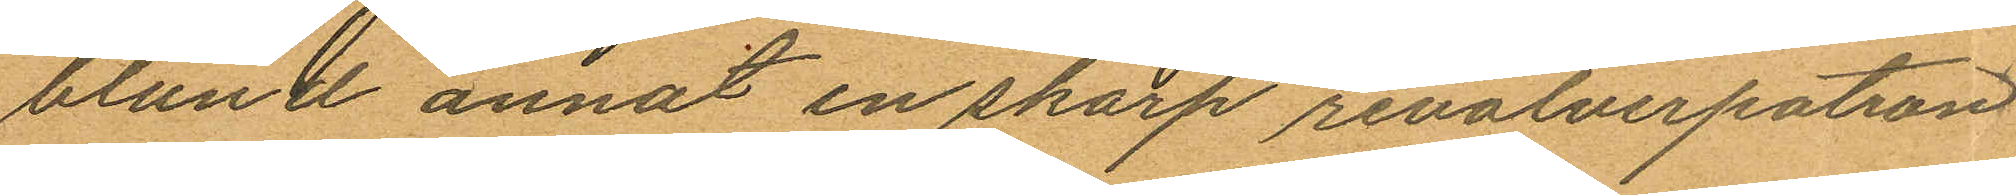bland annat en skarp revolverpatron
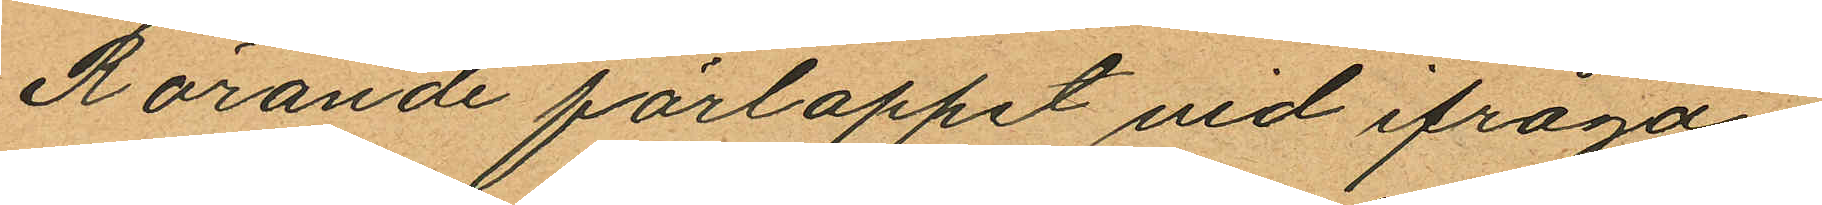Rörande förloppet vid ifråga¬
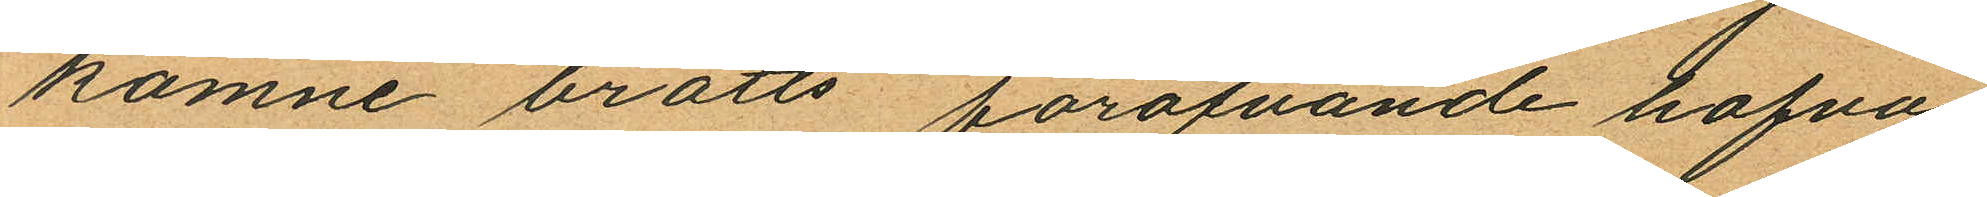komne brotts föröfvande hafva
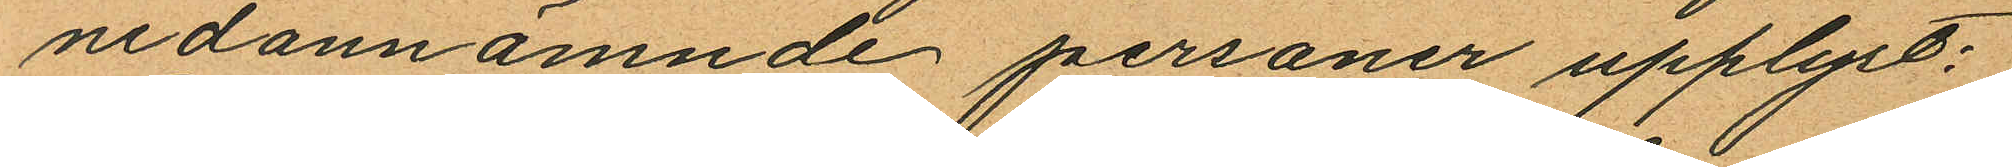nedannämnde personer upplyst:
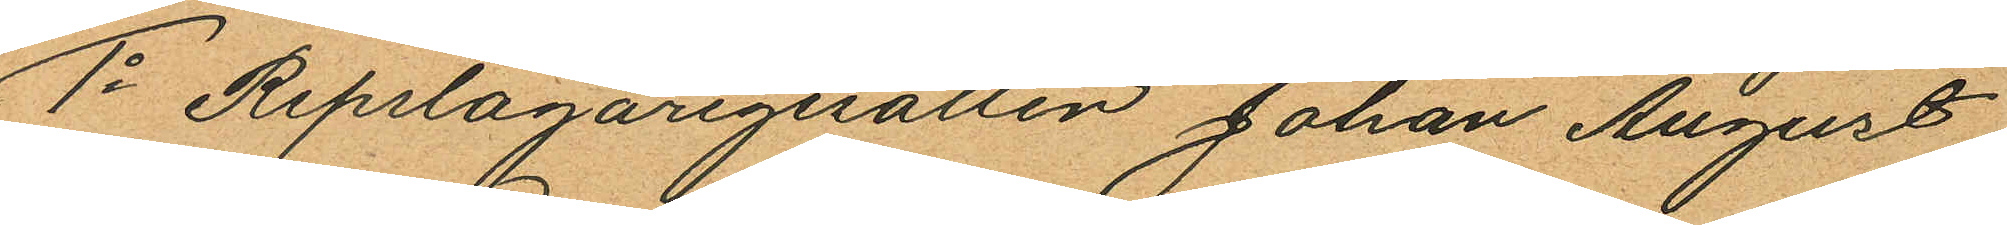1o Repslagaregesällen Johan August
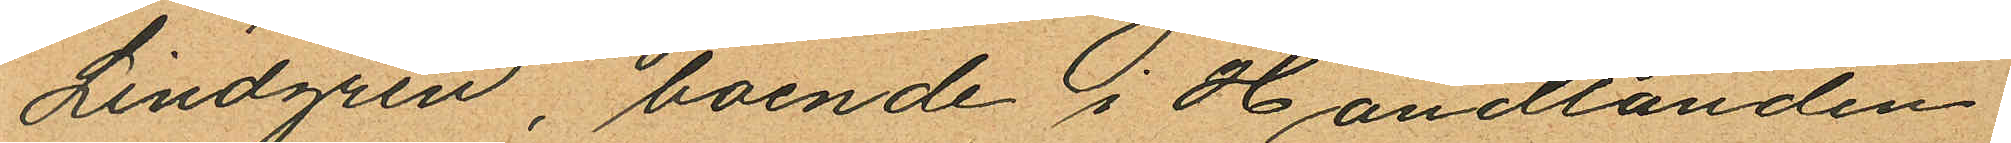Lindgren, boende i Handlanden
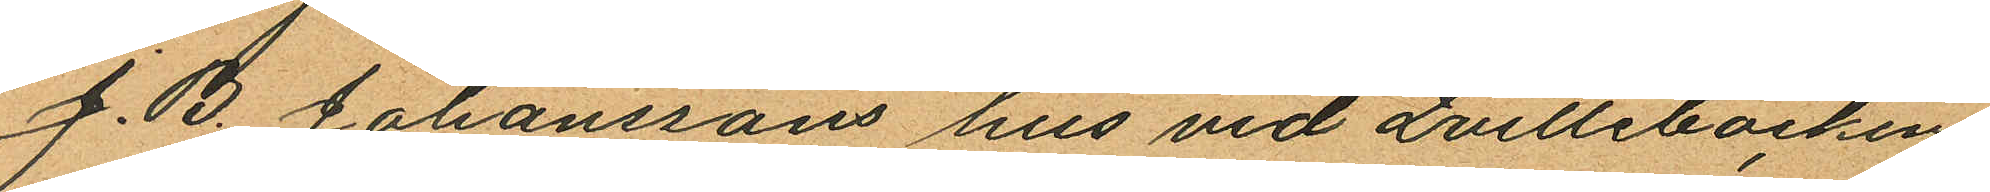J. B. Johanssons hus vid Qvillebäcken
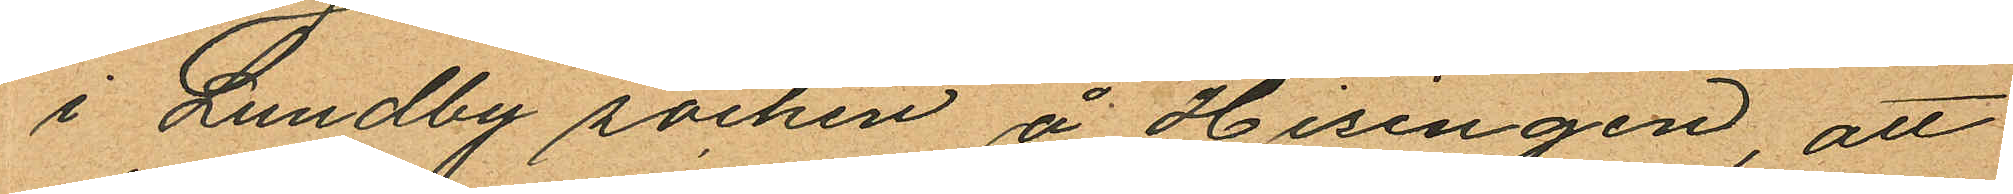i Lundby socken å Hisingen, att
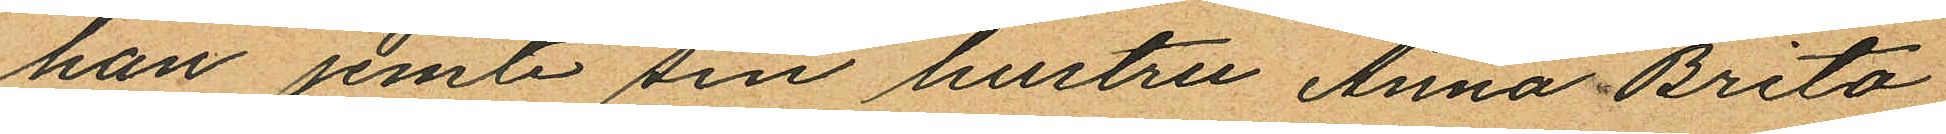han jemte sin hustru Anna Brita
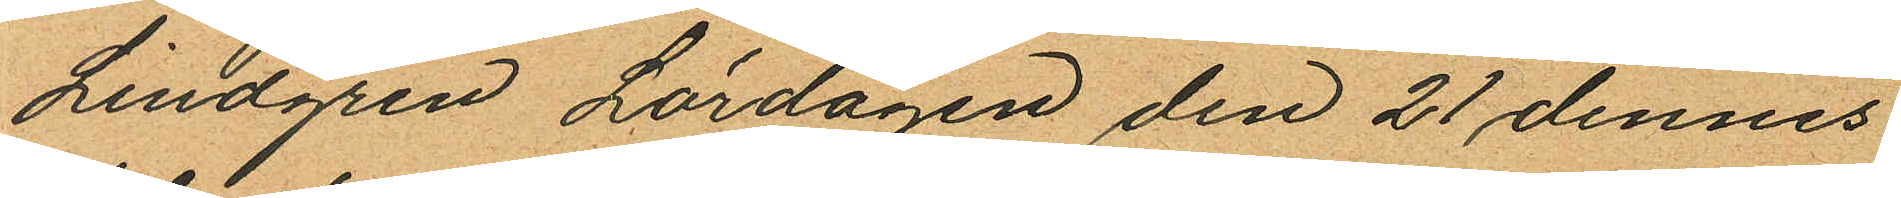Lindgren Lördagen den 21 dennes
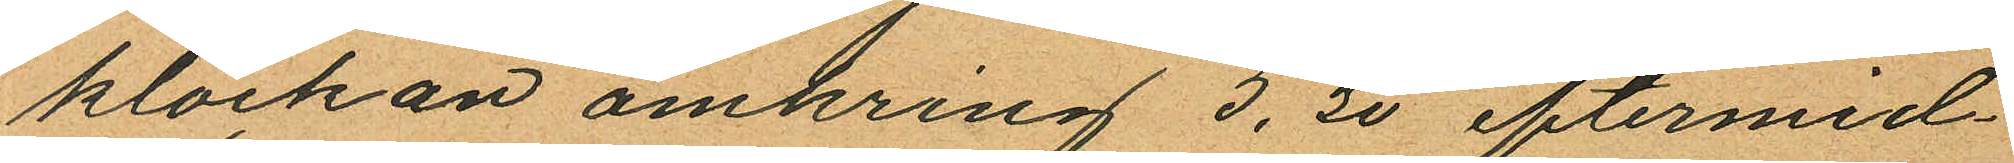klockan omkring 5,30 eftermid¬
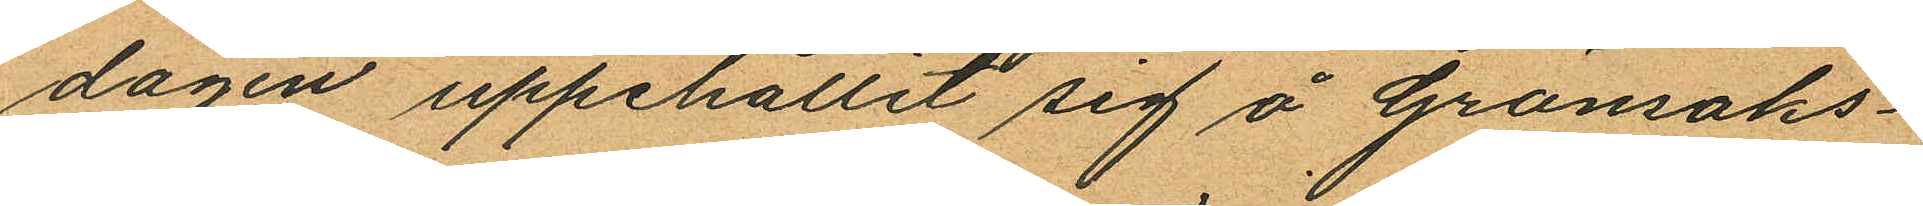dagen uppehållit sig å Grönsaks¬
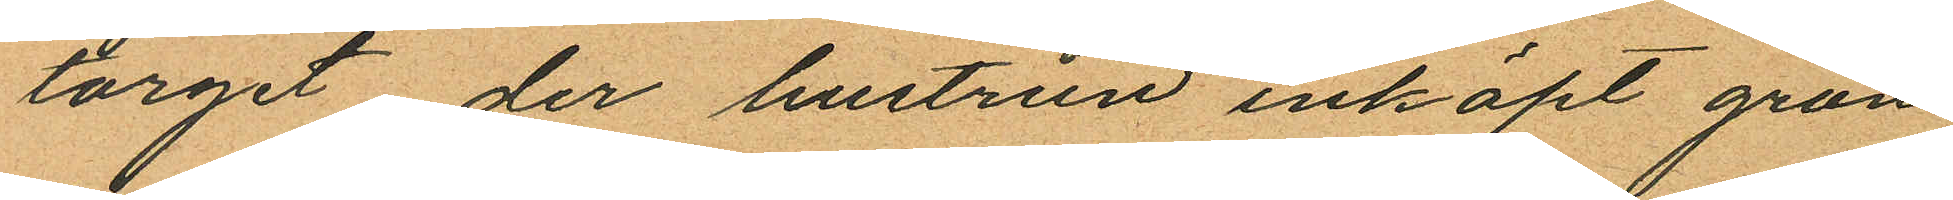torget der hustrun inköpt grön
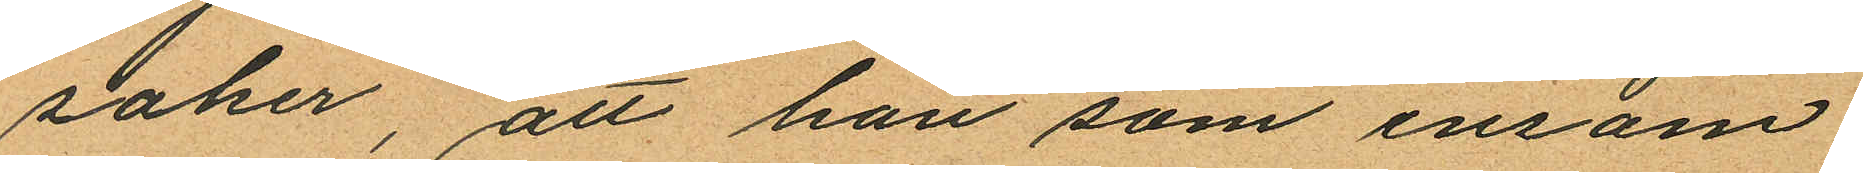saker, att han som ensam
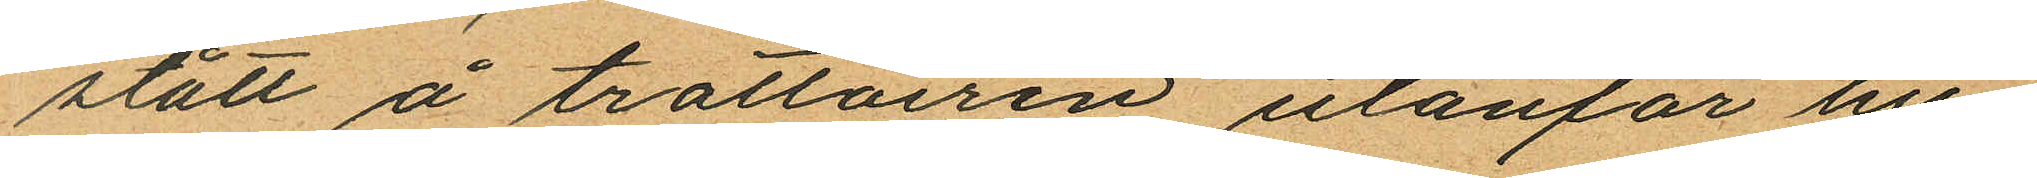stått å trottoiren utanför hu¬
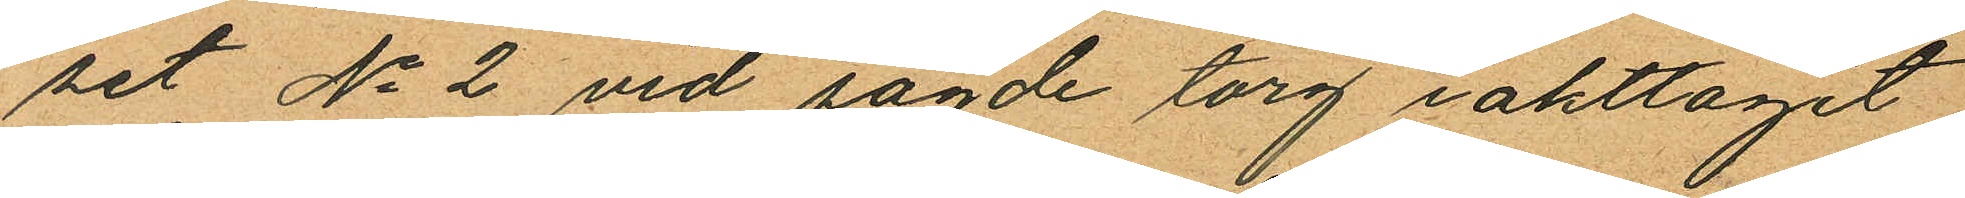set No 2 vid sagde torg iakttaget
